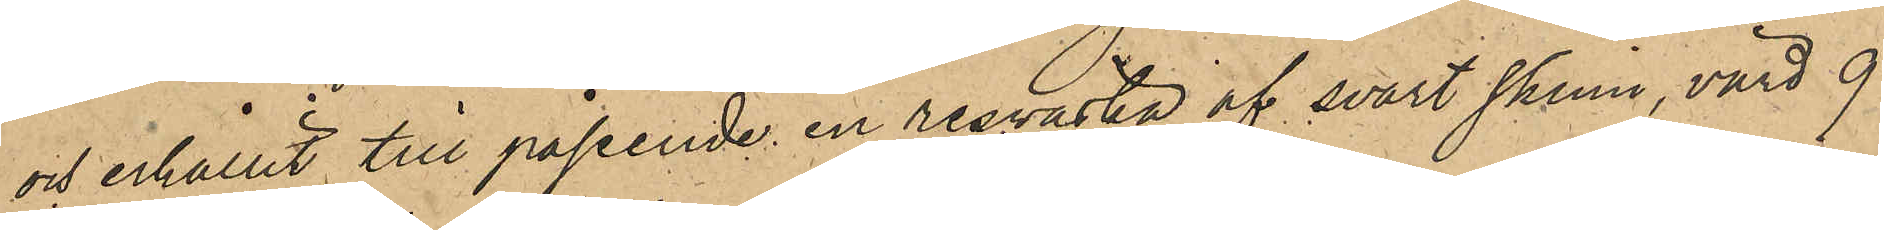och erhållit till påseende en resväska af svart skinn, värd 9
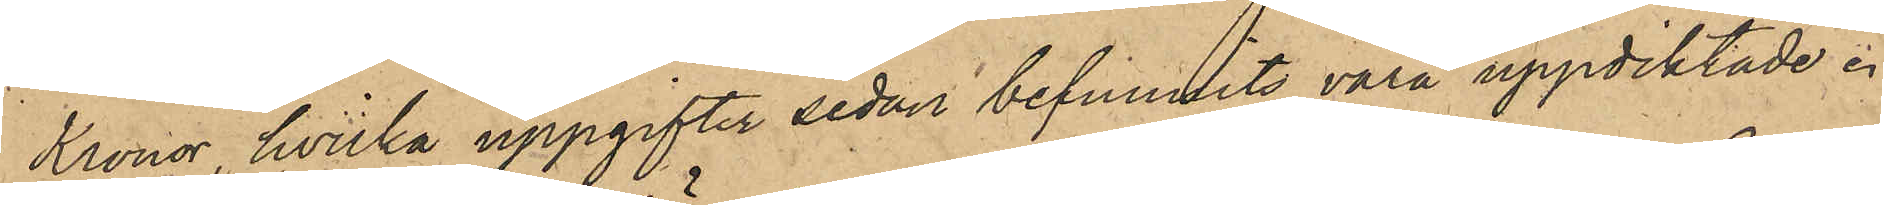Kronor, hvilka uppgifter sedan befunnits vara uppdiktade.
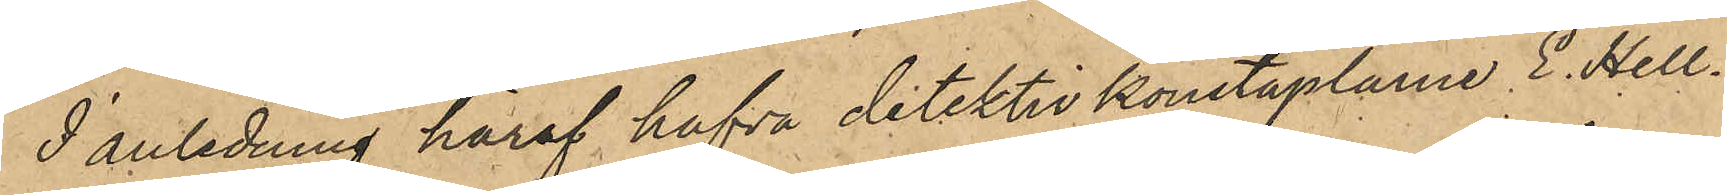I anledning häraf hafva detektivkonstaplarne E. Hell¬
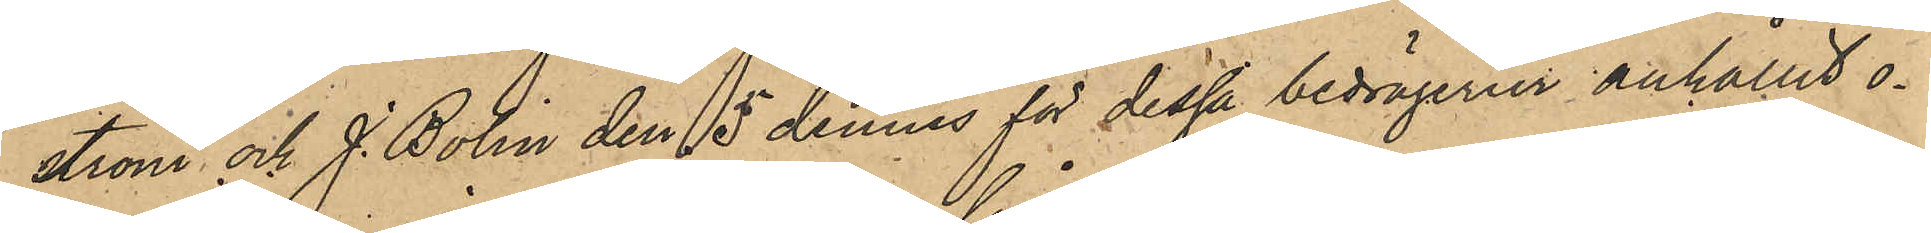ström och J. Bolin den 5 dennes för dessa bedrägerier anhållit o¬
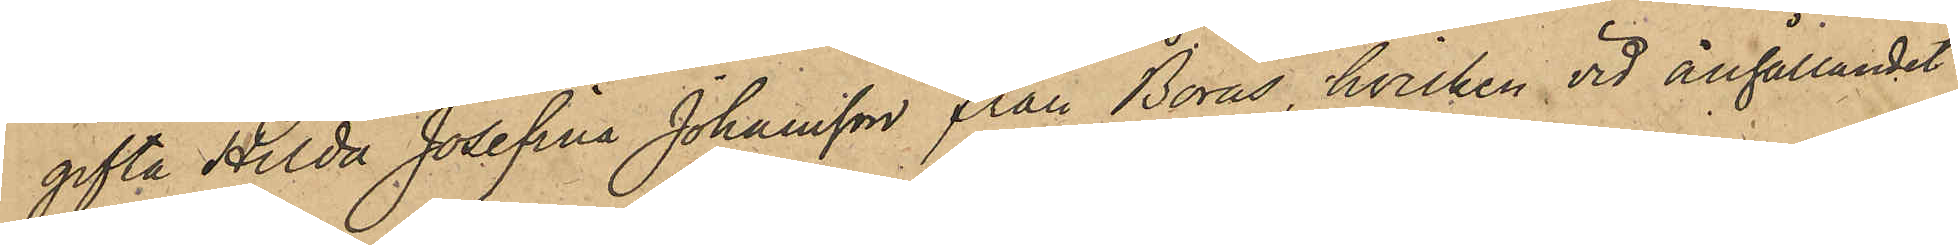gifta Hilda Josefina Johansson från Borås, hvilken vid anhållandet
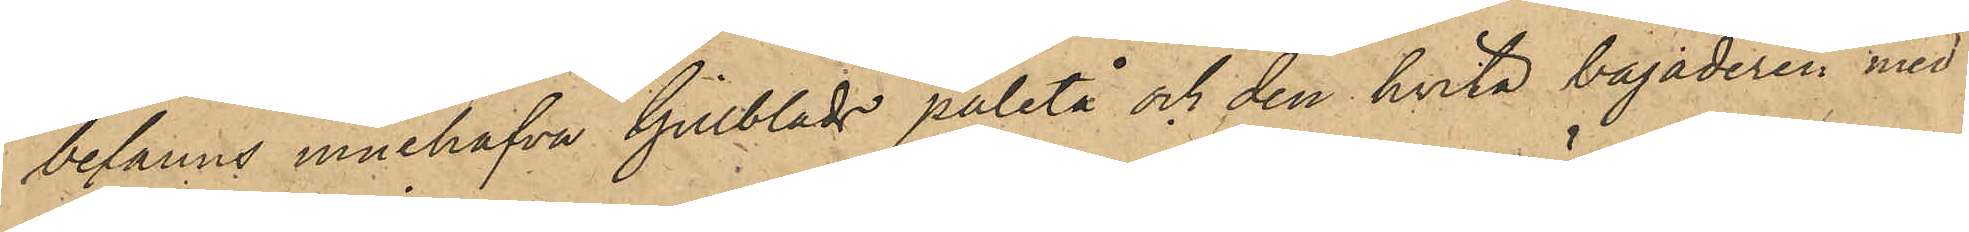befanns innehafva Gillblads paletå och den hvita bajaderen med
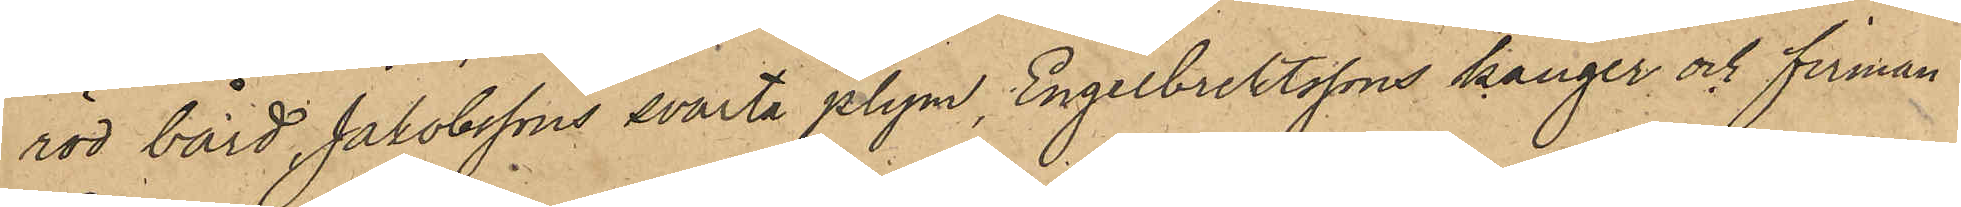röd bård, Jakobssons svarta plym, Engelbrektssons känger och firman
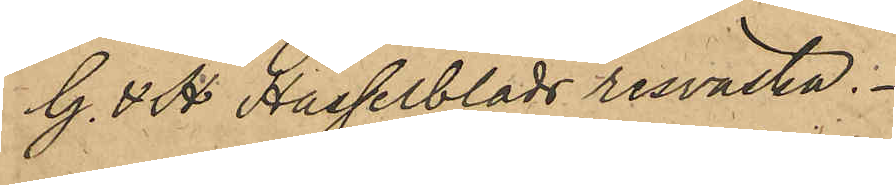G. & H Hasselblads resväska.
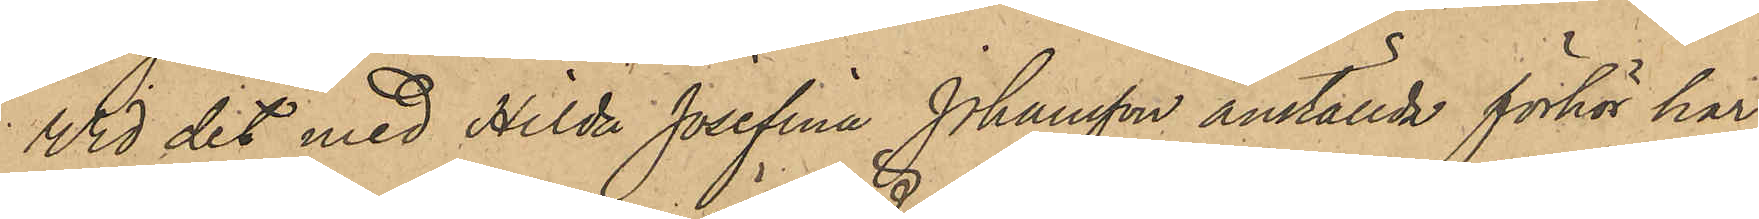Vid det med Hilda Josefina Johansson anställda förhör har
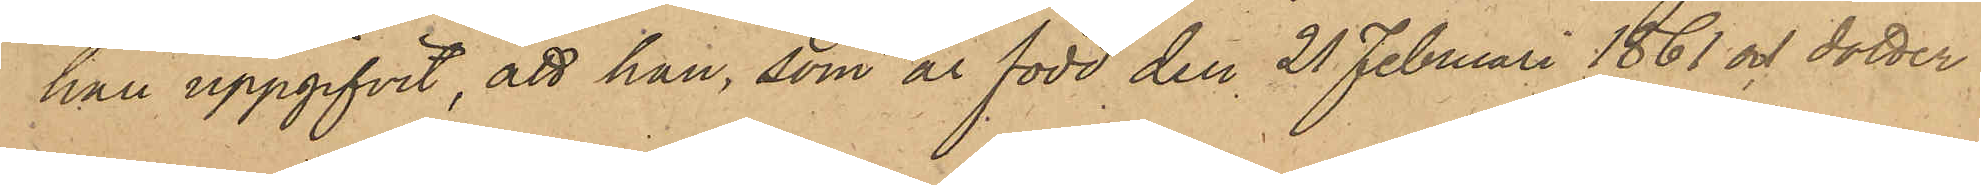hon uppgifvit, att hon, som är född den 21 Februari 1861 och dotter 
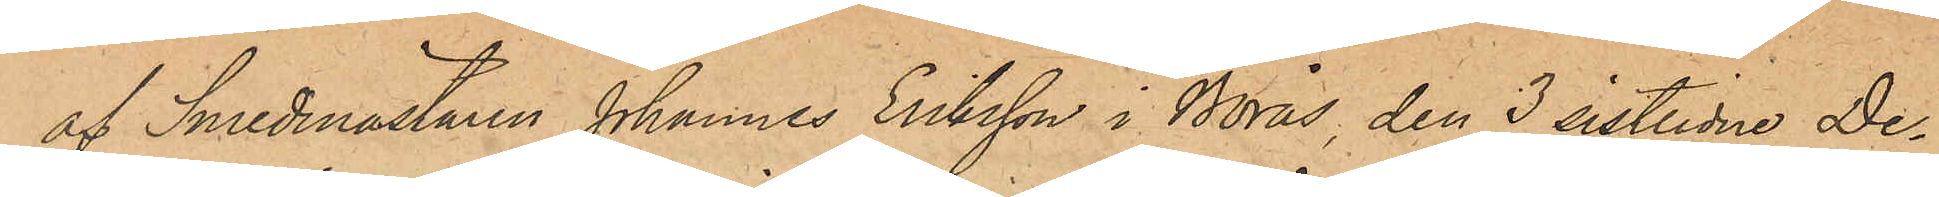af Smedmästaren Johannes Eriksson i Borås, den 3 sistlidne De¬
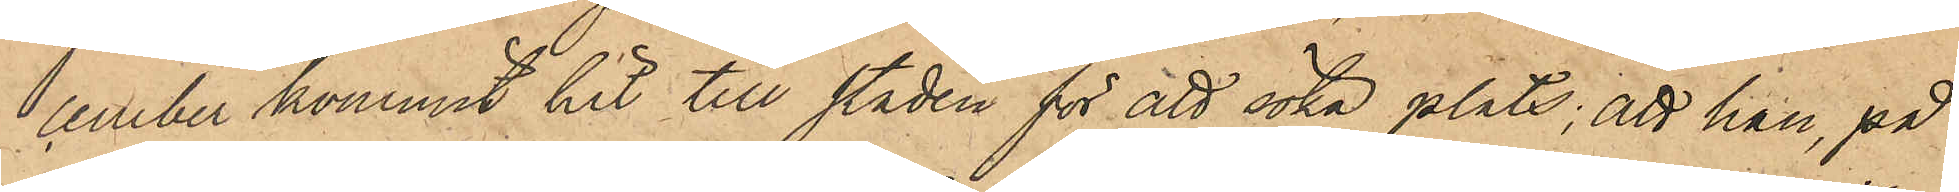cember kommit hit till staden för att söka plats; att han, på
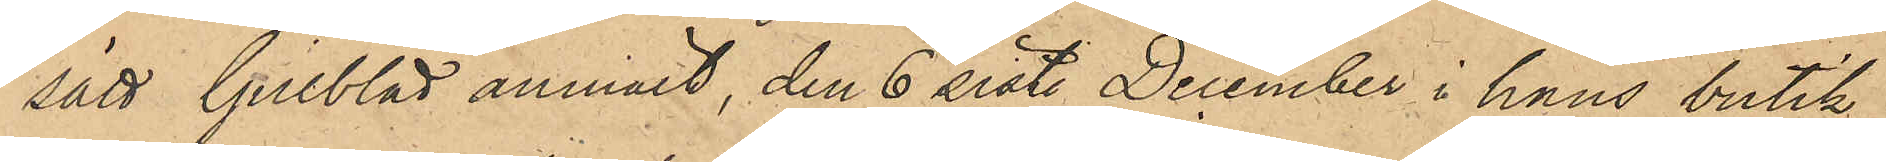sätt Gillblad anmält, den 6 sist. December i hans butik
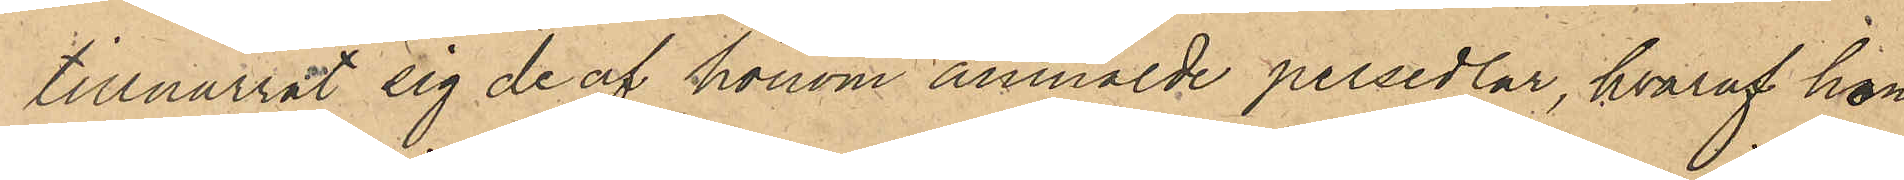tillnarrat sig de af honom anmälde persedlar, hvaraf hon
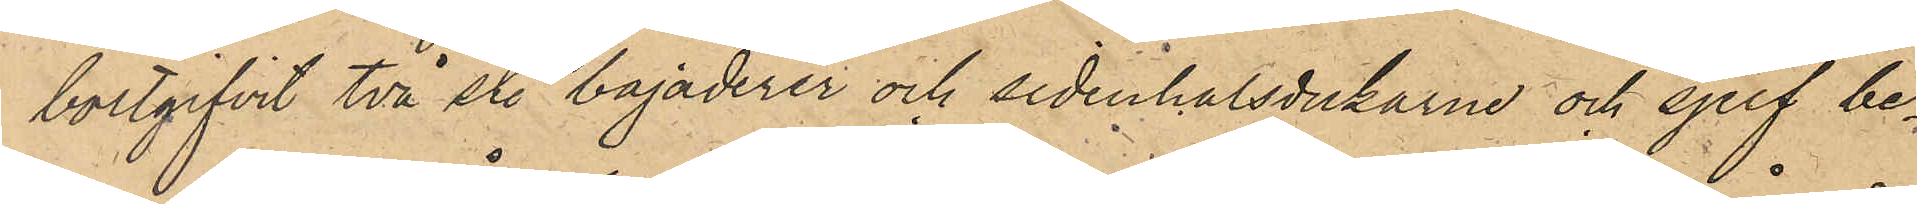bortgifvit två st. bajaderer och sidenhalsdukarne och sjelf be¬
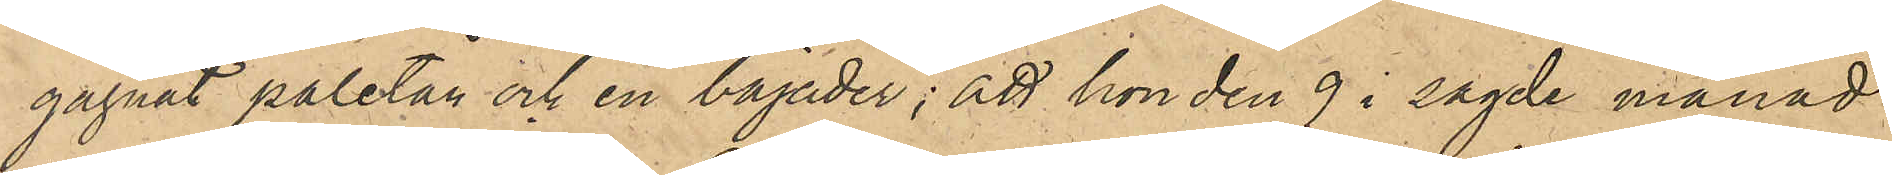gagnat paletån och en bajader; att hon den 9 i sagde månad
